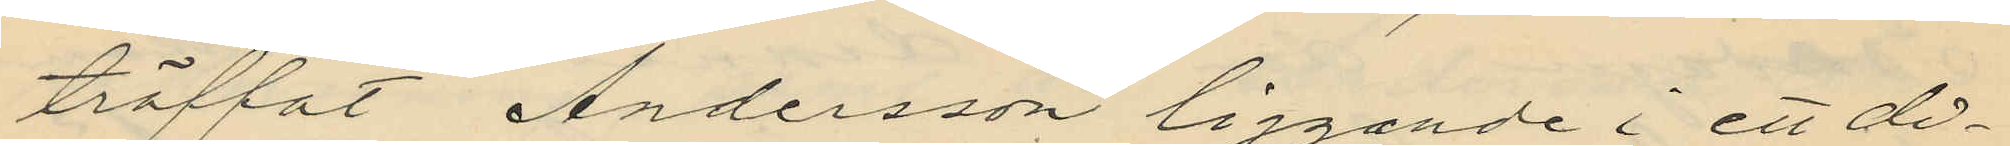träffat Andersson liggande i ett di¬
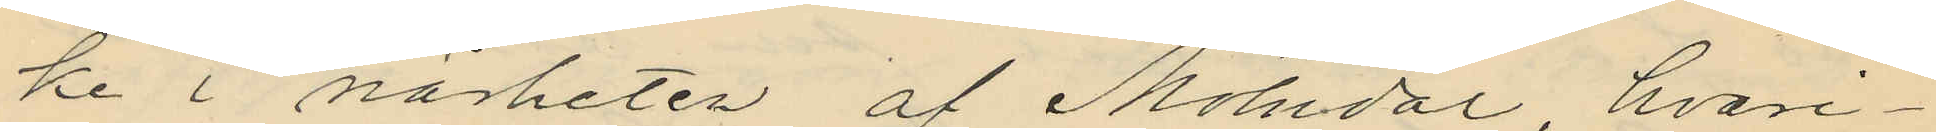ke i närheten af Mölndal, hvari¬
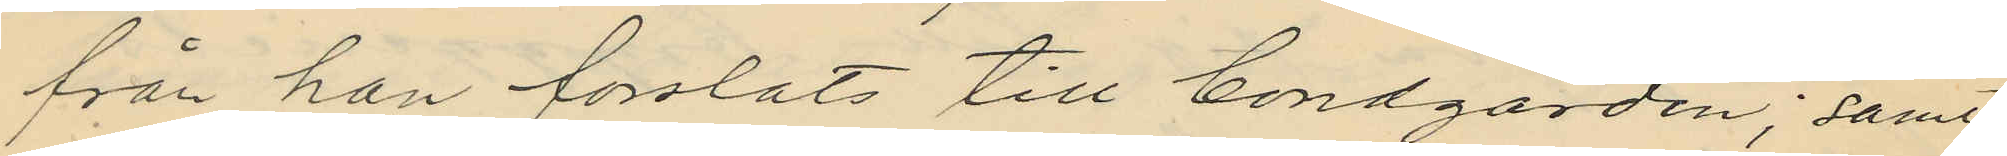från han forslats till bondgården; samt
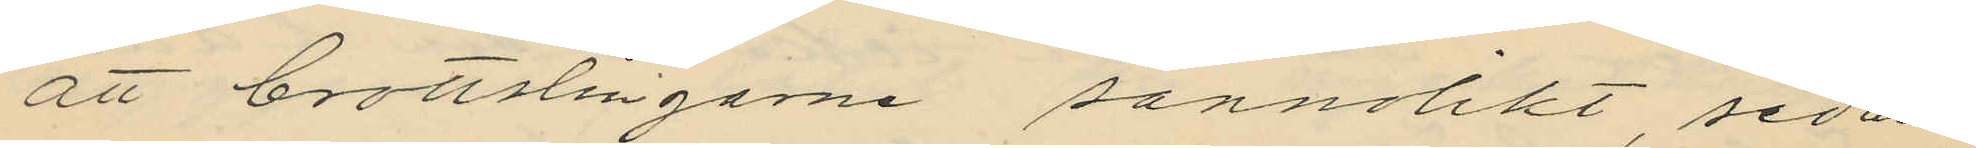att brottslingarne sannolikt, sedan
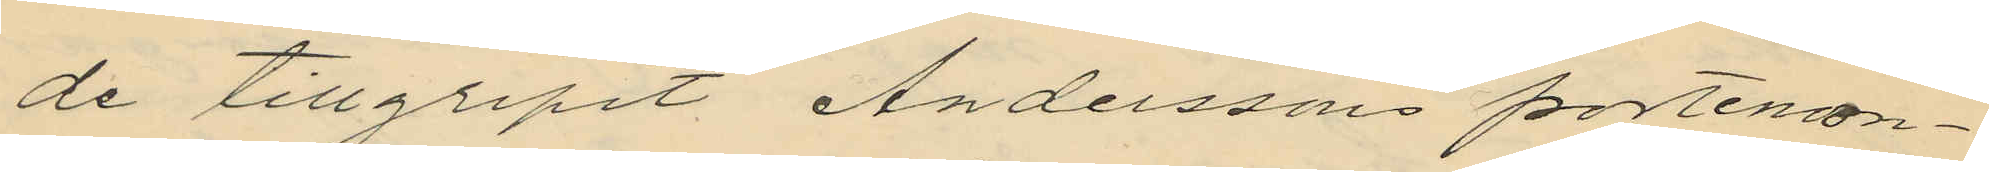de tillgripit Anderssons portemon¬
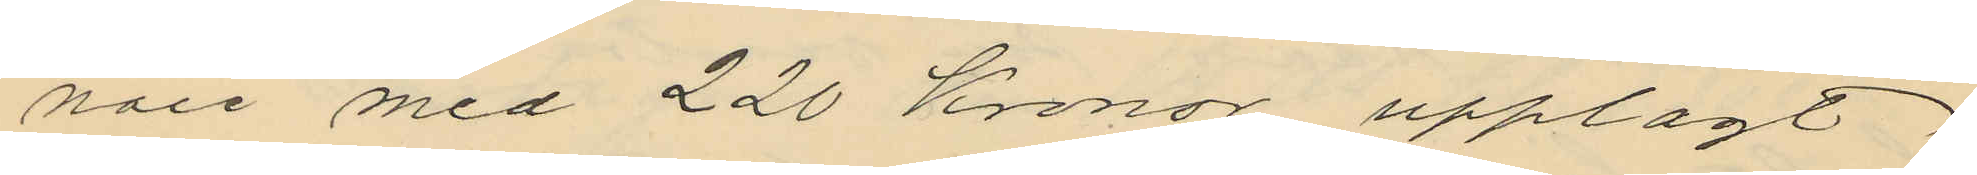naie med 220 Kronor upplagt
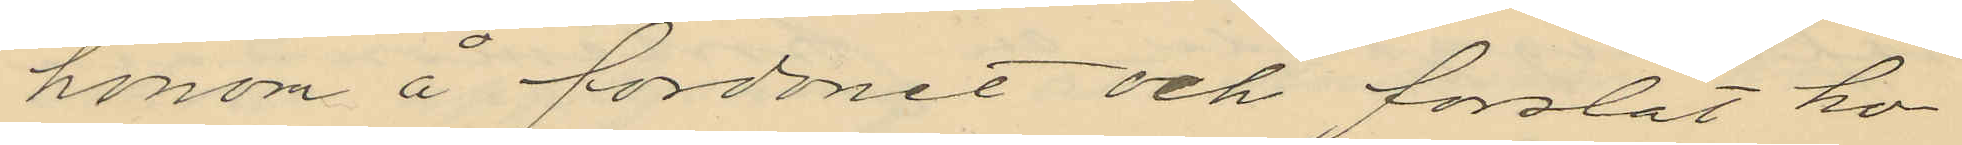honom å fordonet och forslat ho¬
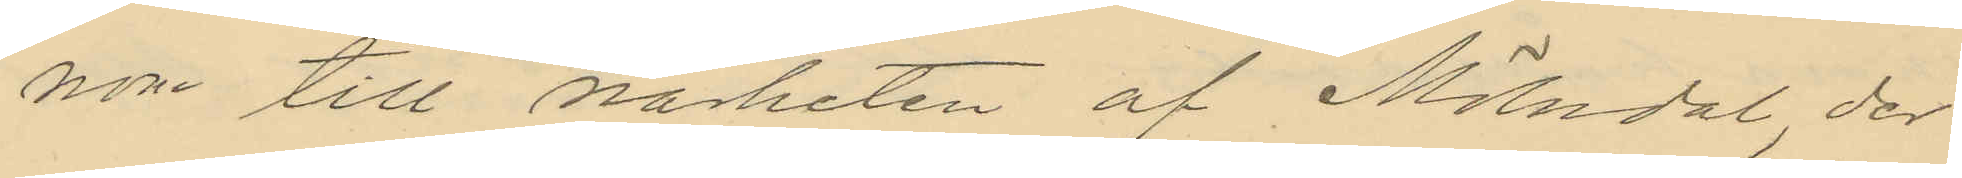nom till närheten af Mölndal, der
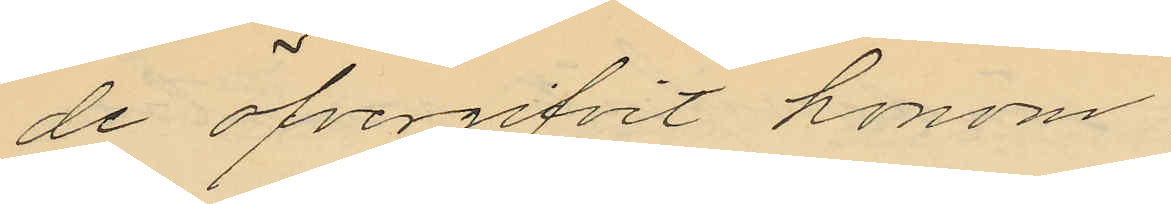de öfvergifvit honom
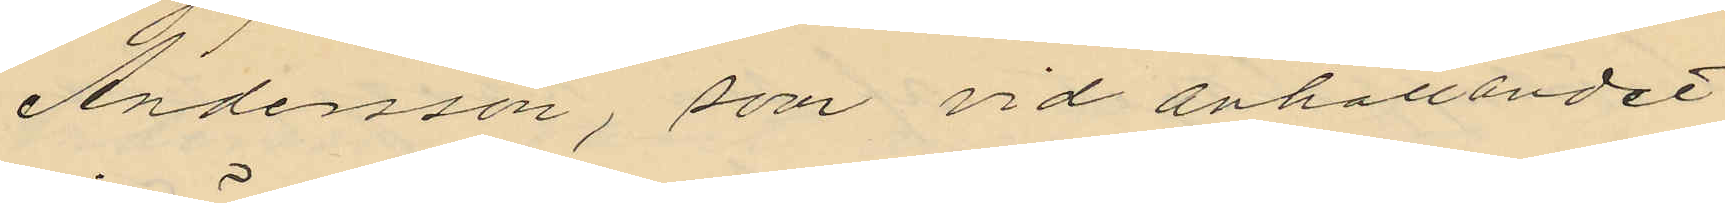Andersson, som vid anhållandet
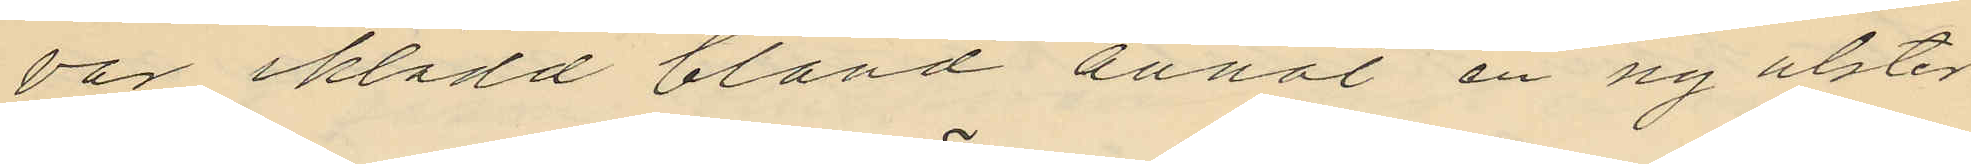var iklädd bland annat en ny ulster
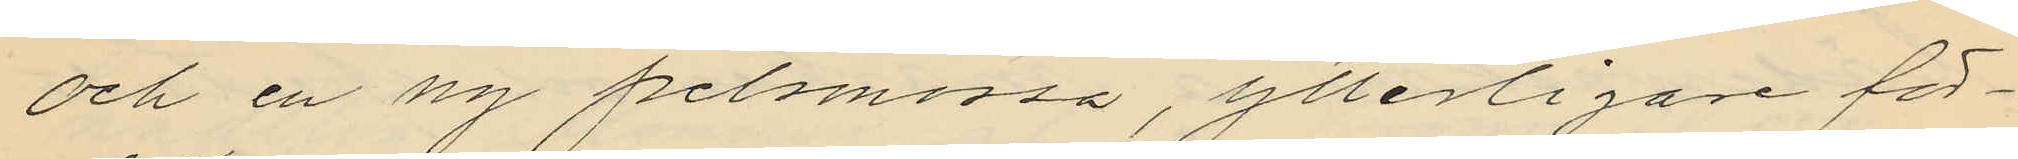och en ny pelsmössa, ytterligare för¬
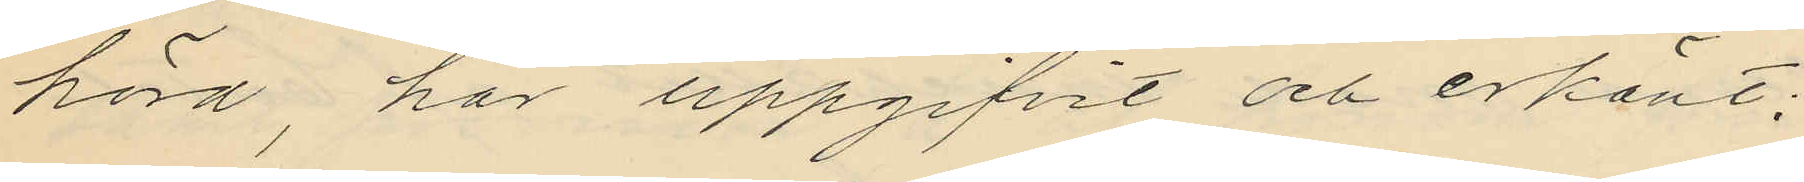hörd, har uppgifvit och erkänt;
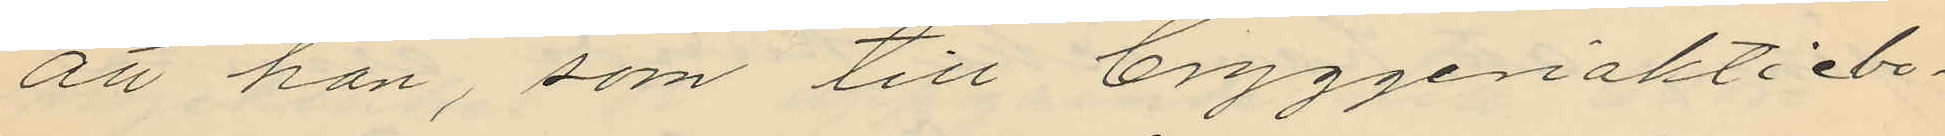att han, som till bryggeriaktiebo¬
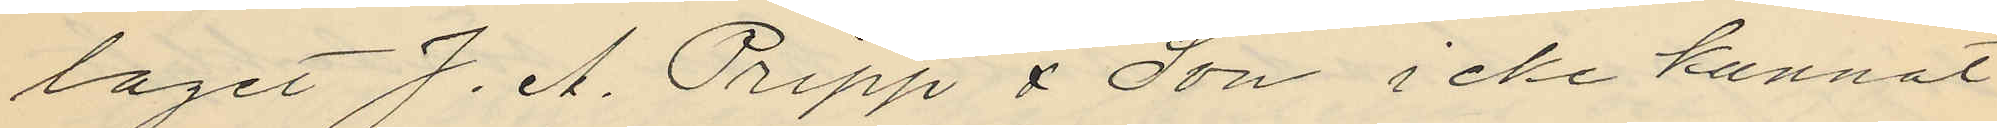laget J. A. Pripp & Son icke kunnat
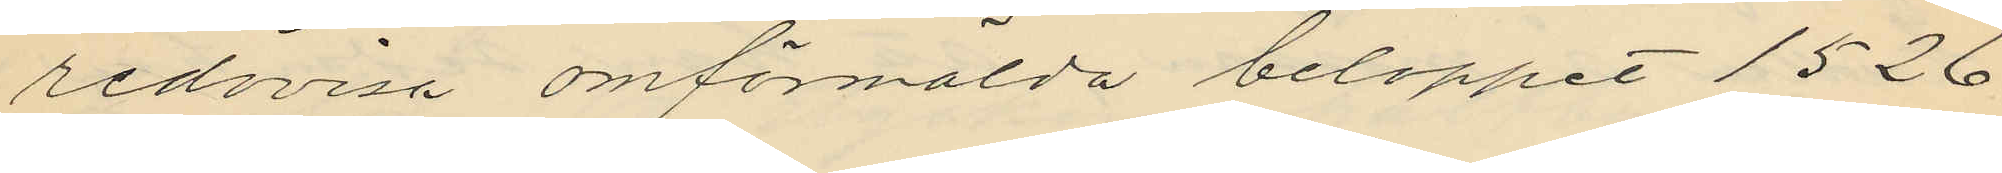redovisa omförmälda beloppet 1526
